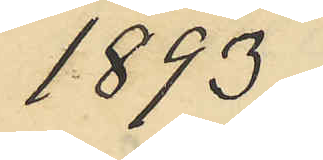1893;
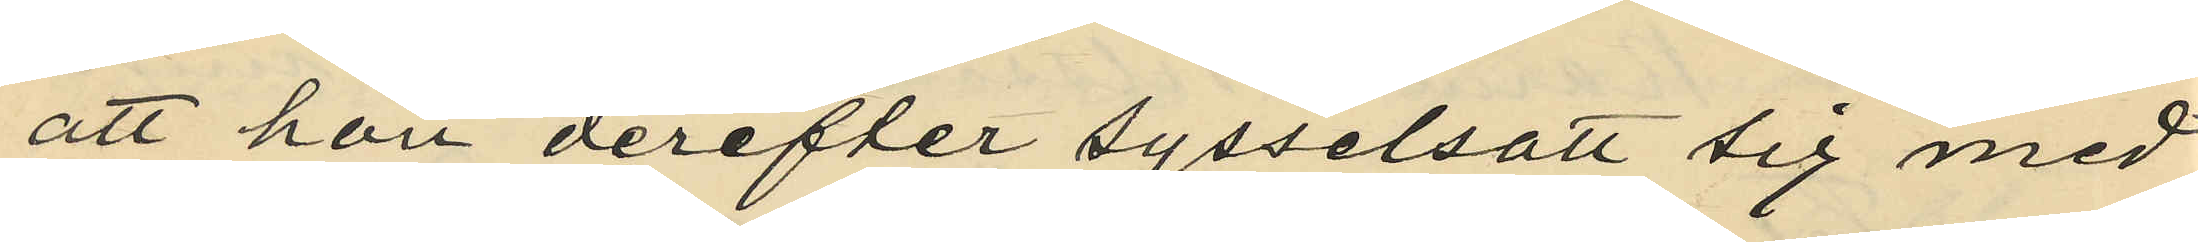att hon derefter sysselsatt sig med
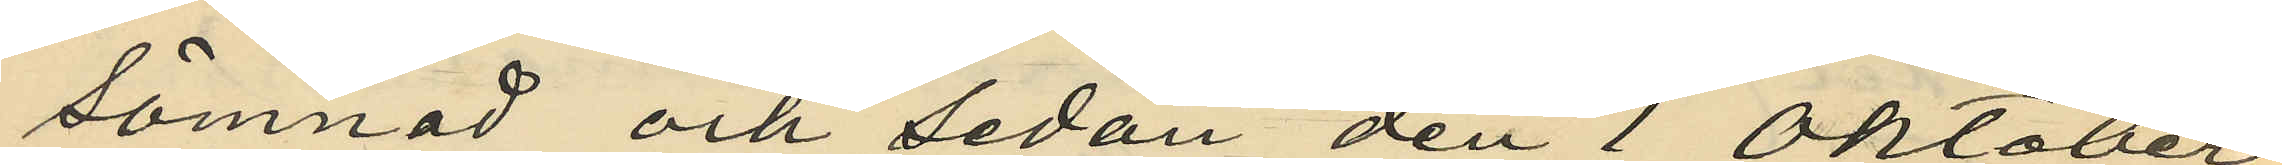sömnad och sedan den 1 Oktober
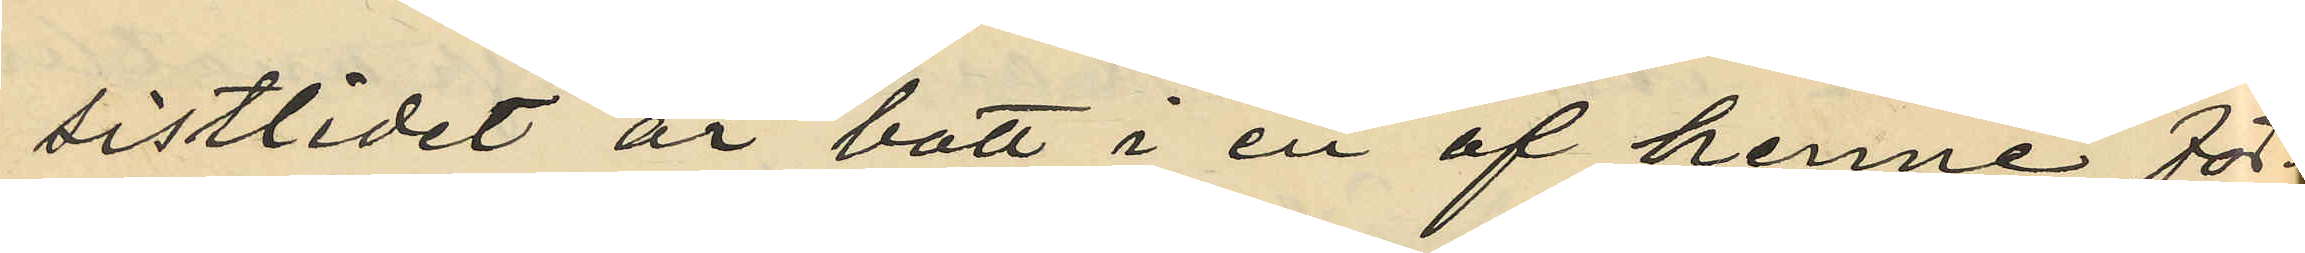sistlidet år bott i en af henne för¬
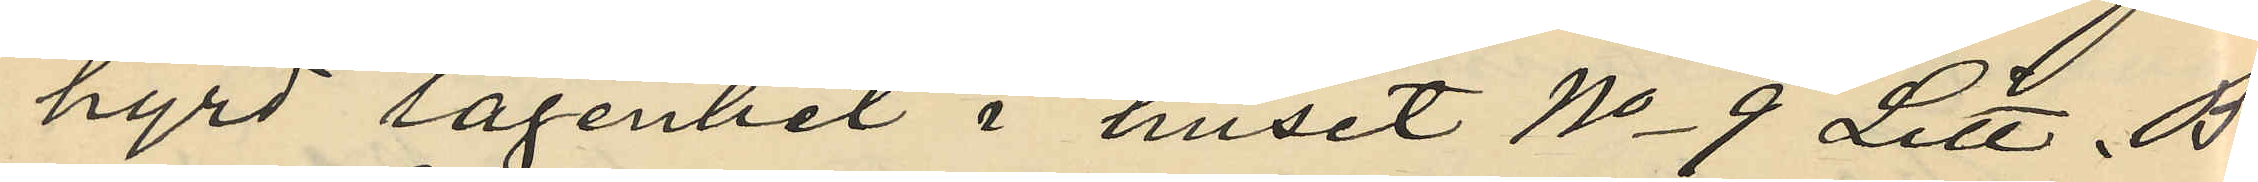hyrd lägenhet i huset No 9 Litt. B.
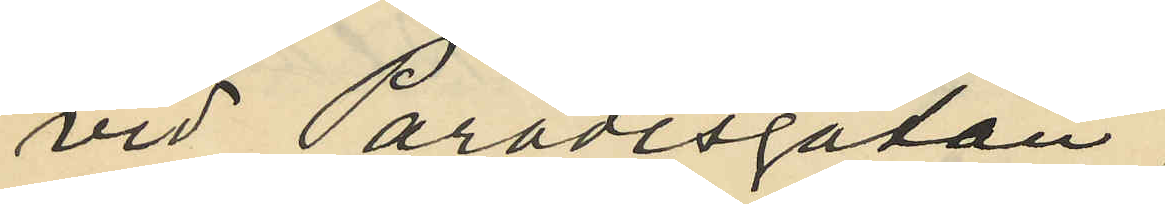vid Paradisgatan;
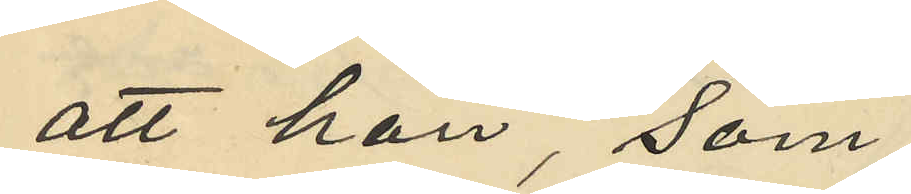att hon, som
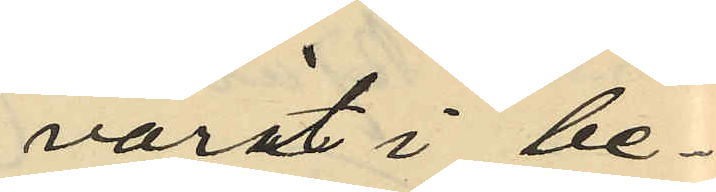varit i be¬
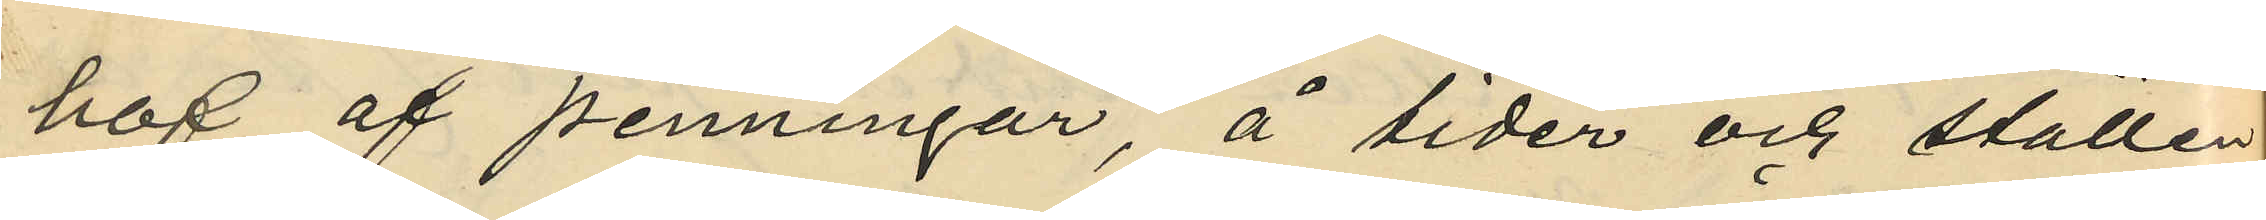hof af penningar, å tider och ställen
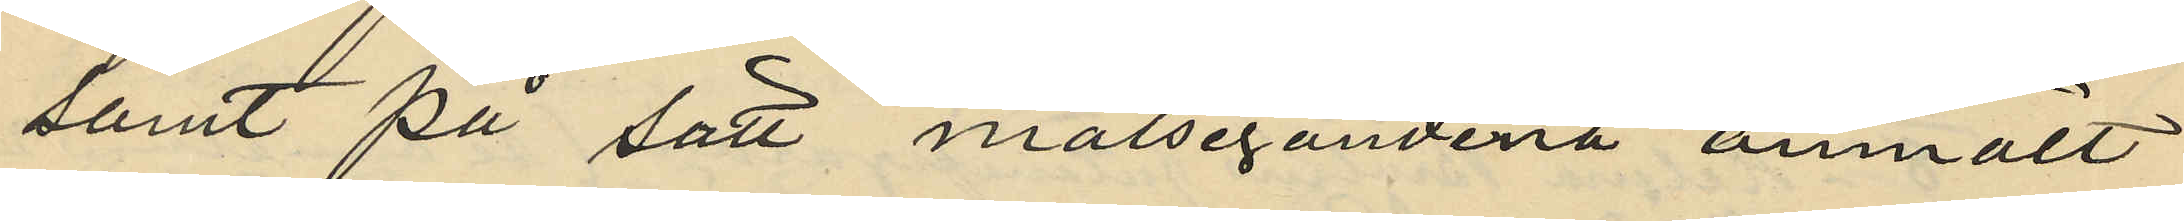samt på sätt målsegandena anmält
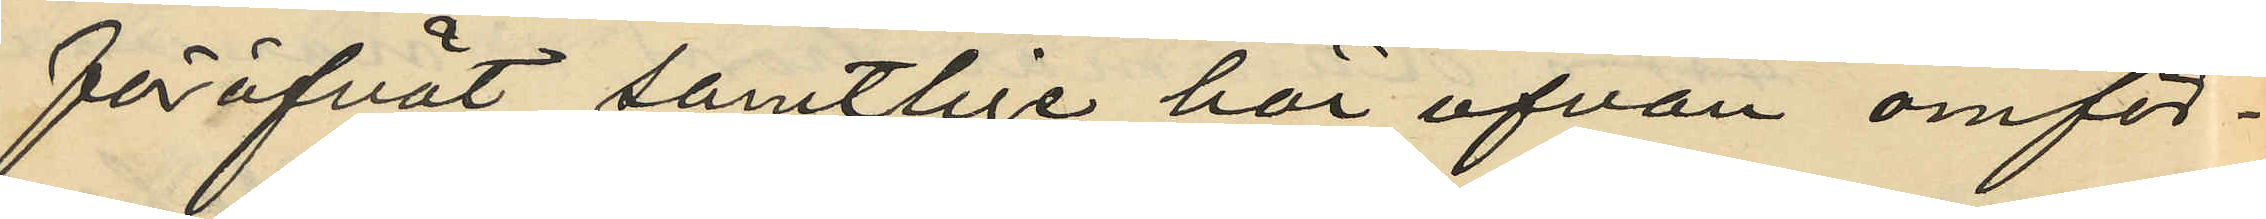föröfvat samtlige här ofvan omför¬
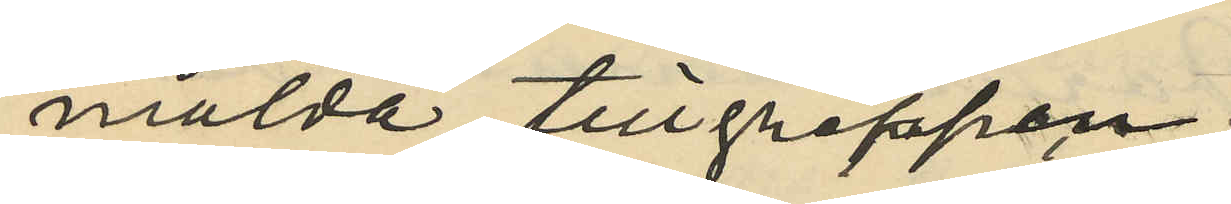mälda tillgreppen.
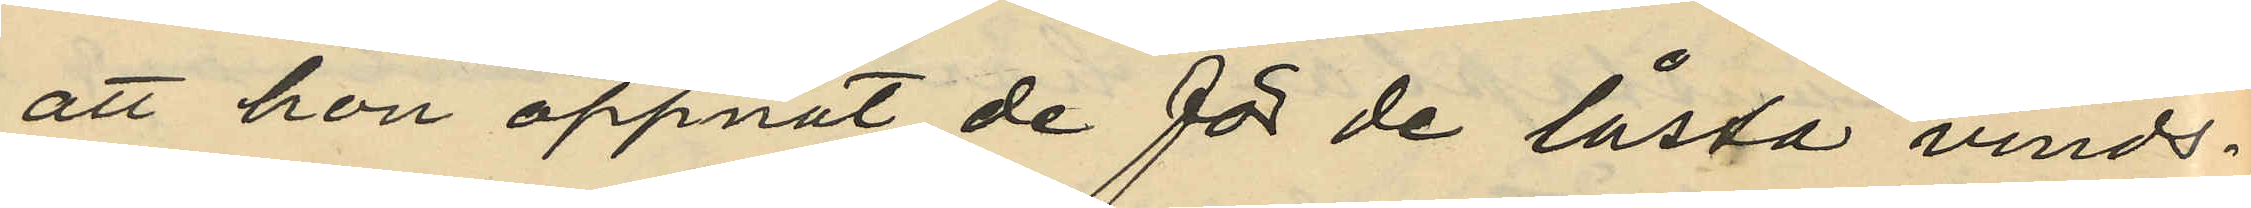att hon öppnat de för de låsta vinds¬
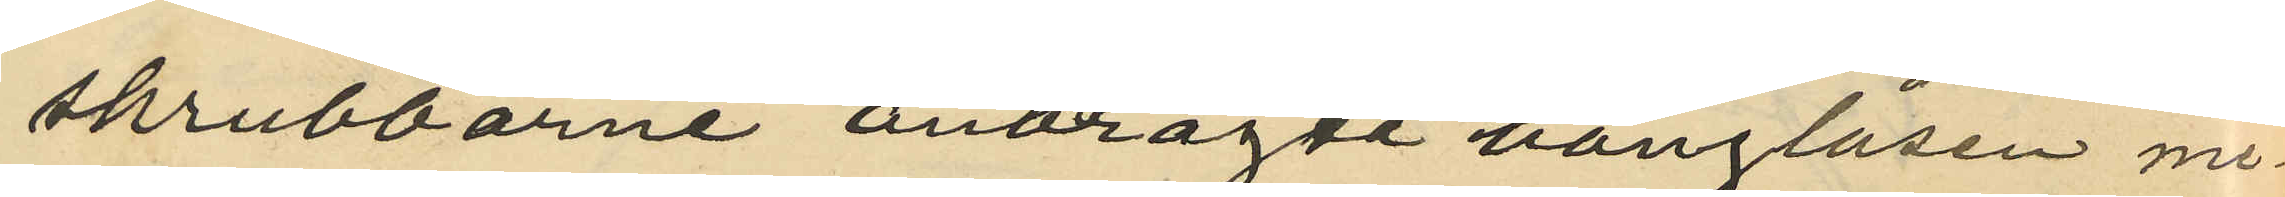skrubbarne anbragte hänglåsen me¬
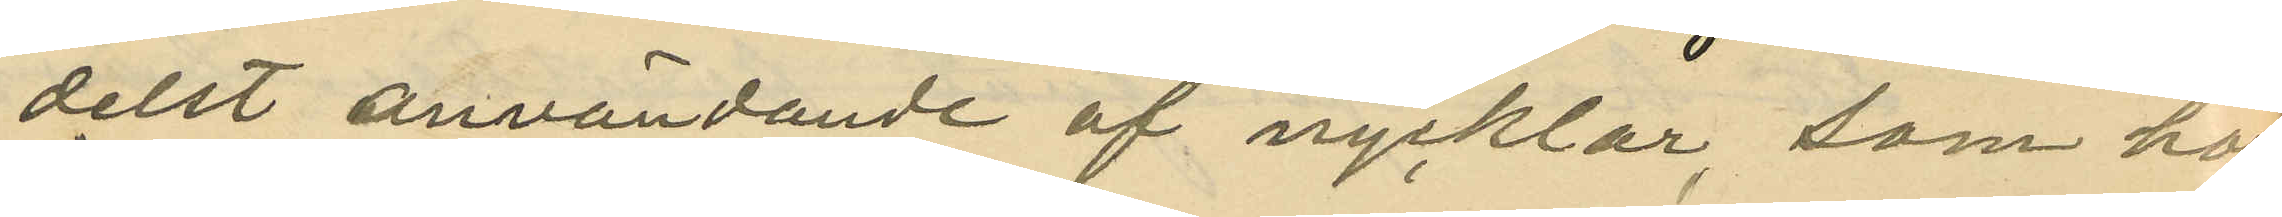delst användande af nycklar som hon
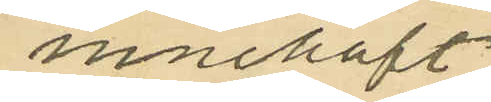innehaft
